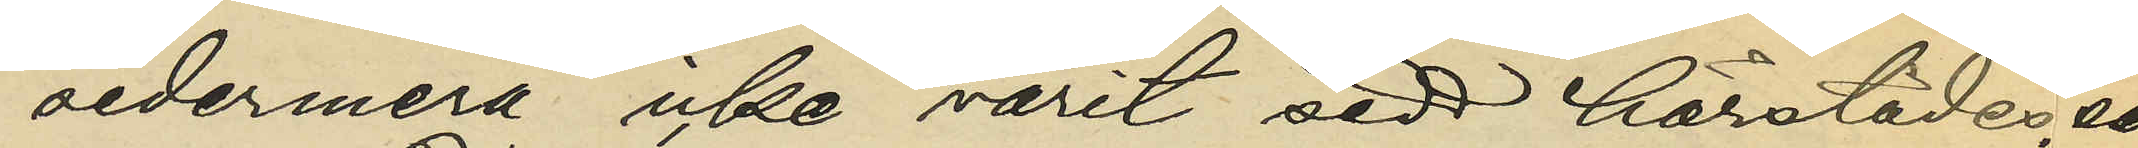sedermera icke varit sedd härstädes; och
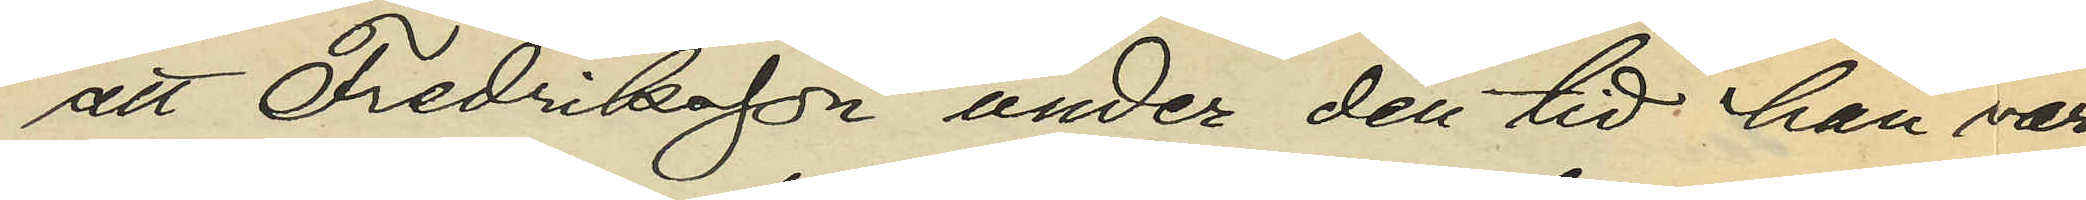att Fredriksson under den tid han varit
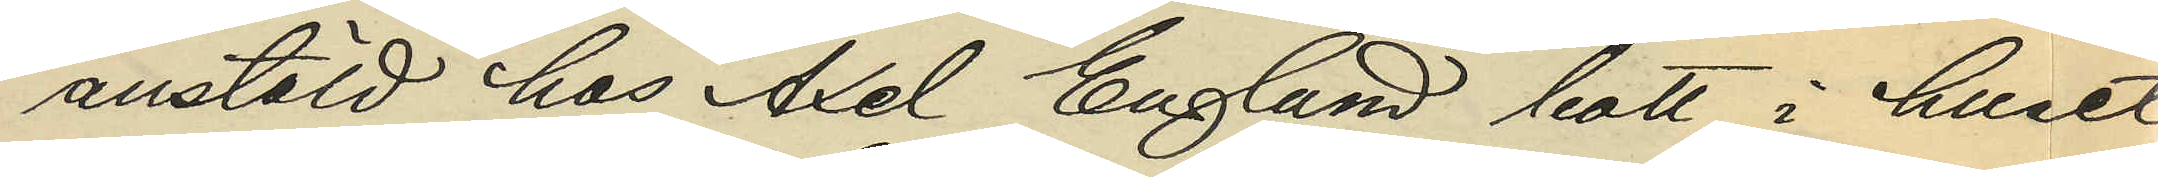anstäld hos Axel Englund bott i huset
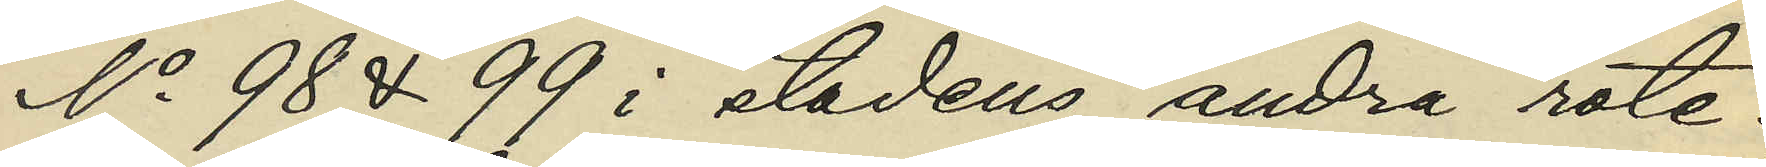No 98 & 99 i stadens andra rote.
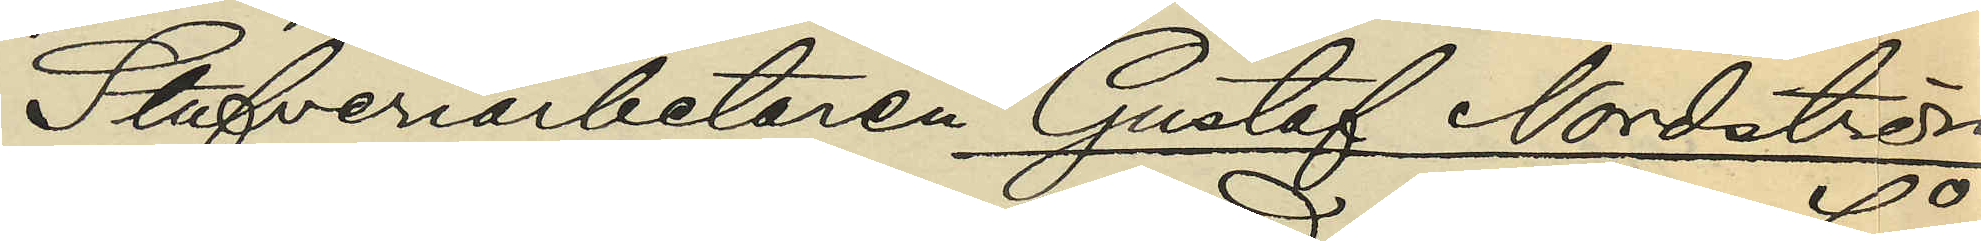Stufveriarbetaren Gustaf Nordström
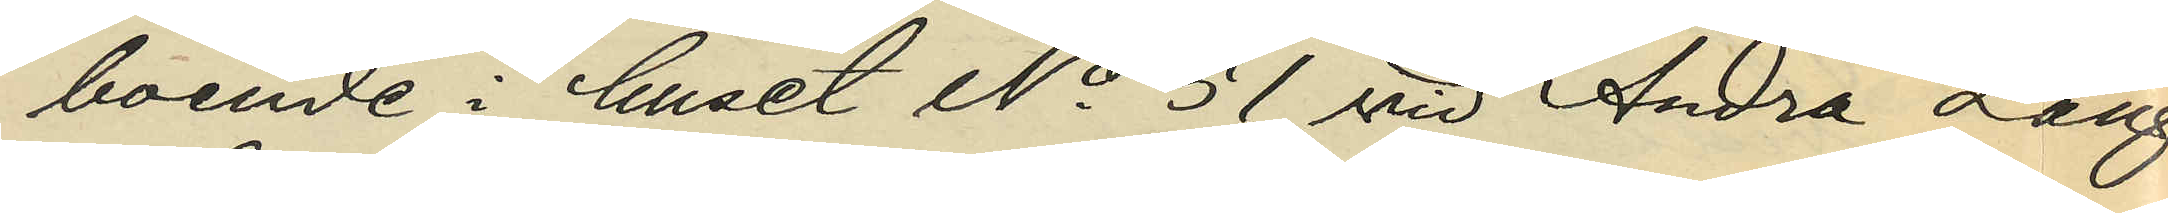boende i huset No 51 vid Andra Lång¬
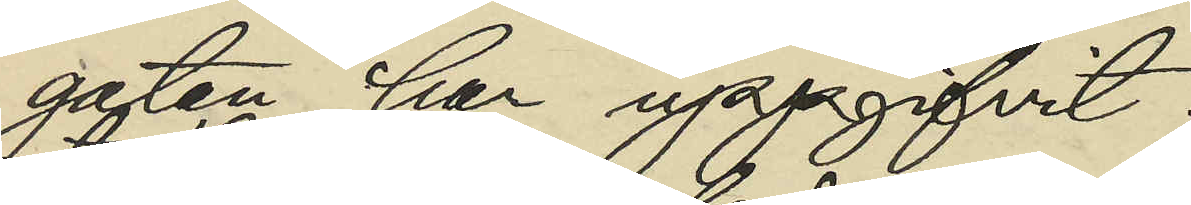gatan har uppgifvit:
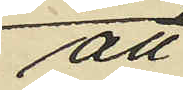att
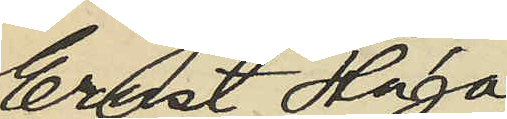Ernst Hugo
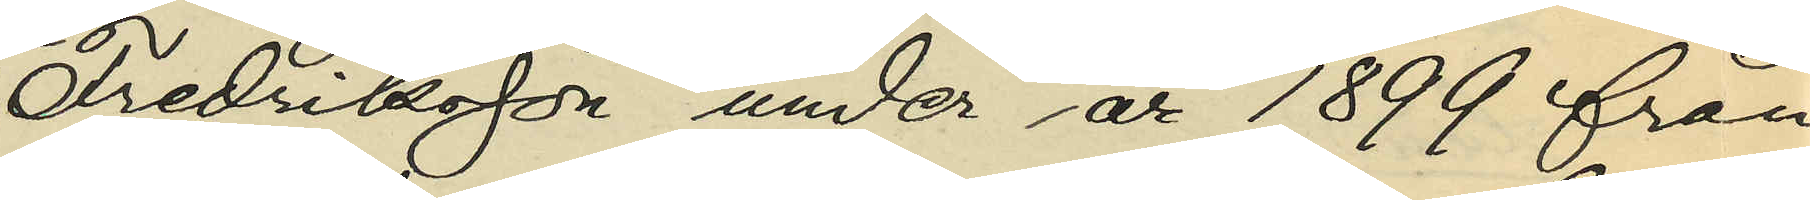Fredriksson under år 1899 från
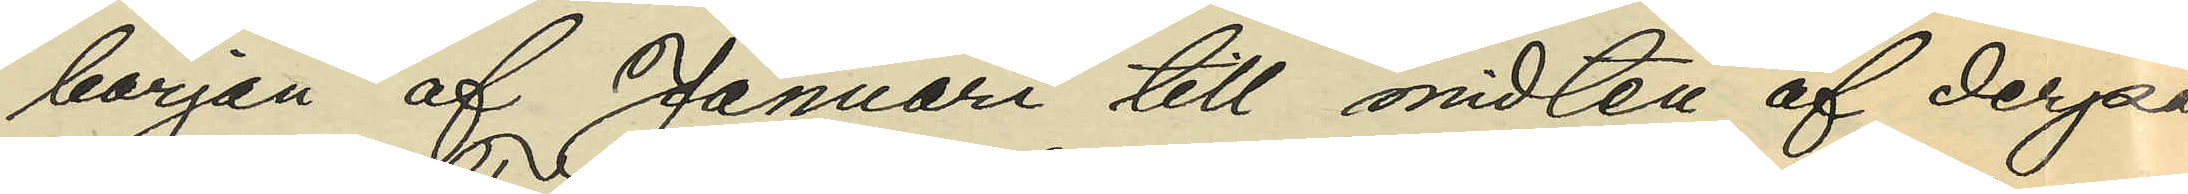början af Januari till midten af derpå
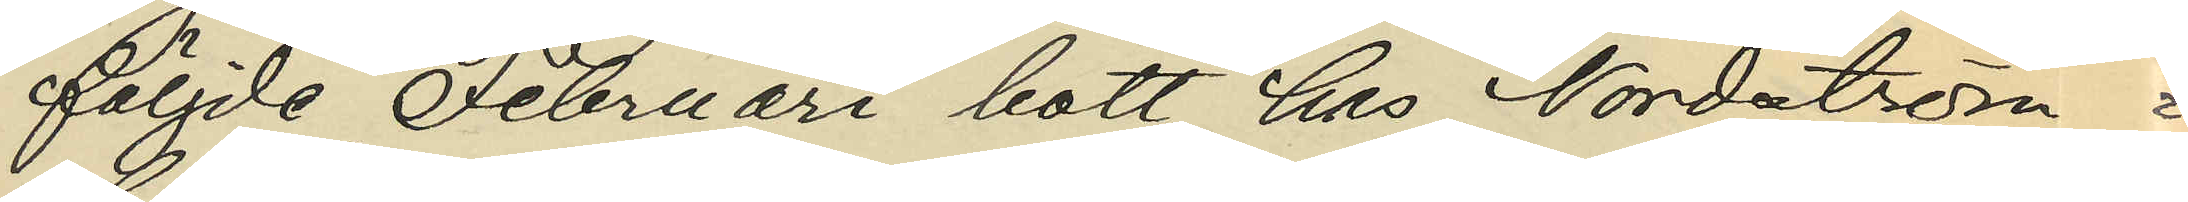följde Februari bott hos Nordström i
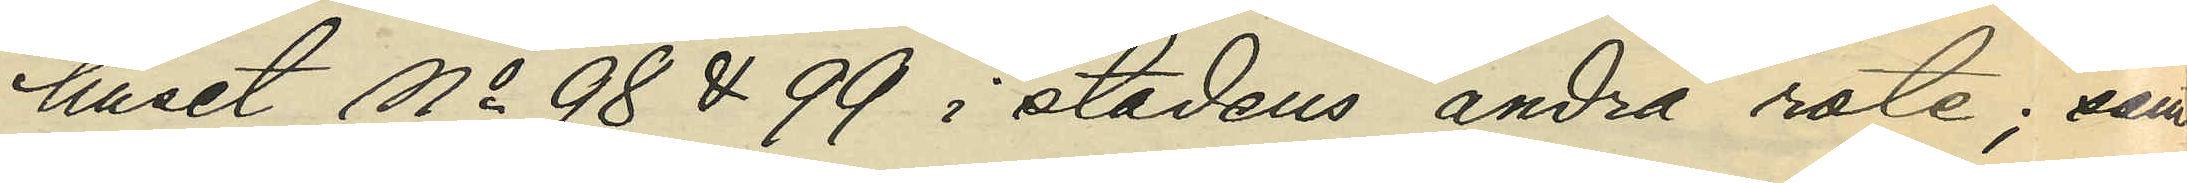huset No 98 & 99 i staden andra rote; samt
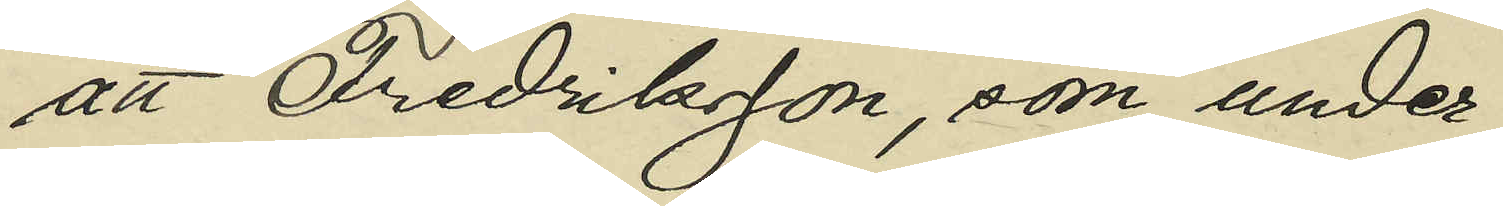att Fredriksson, som under
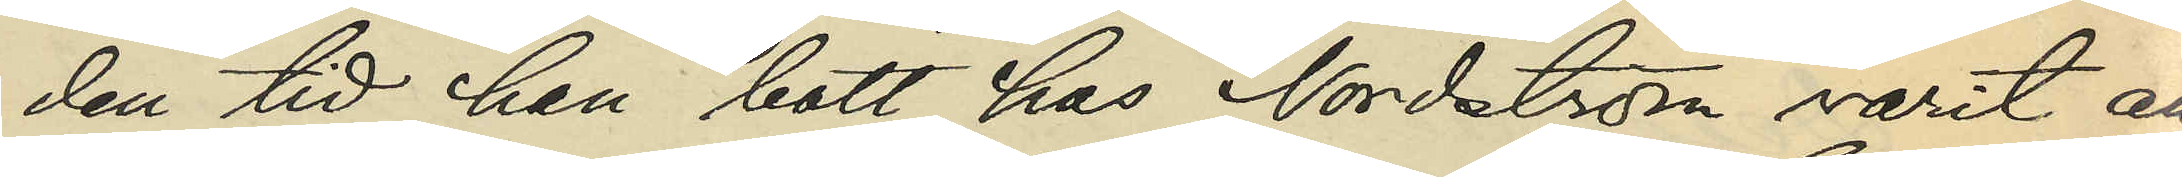den tid han bott hos Nordström varit an¬
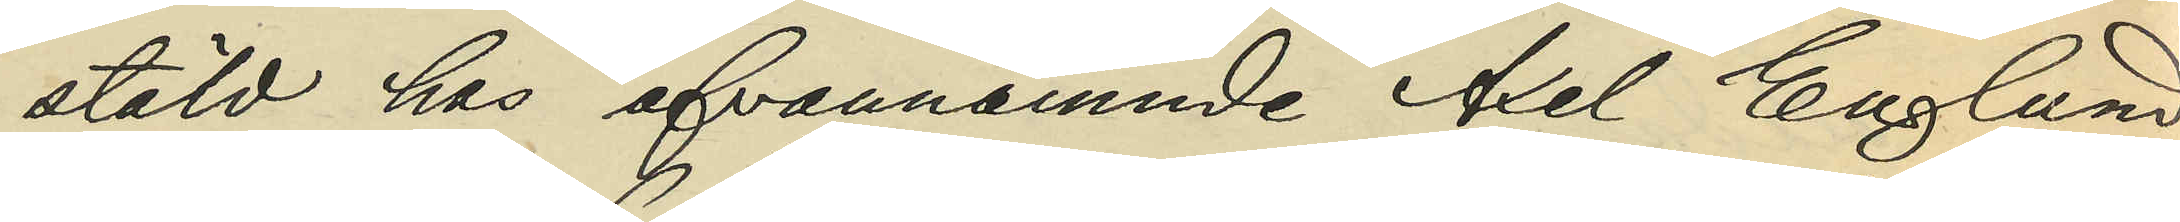stäld hos ofvannämnde Axel Englund
